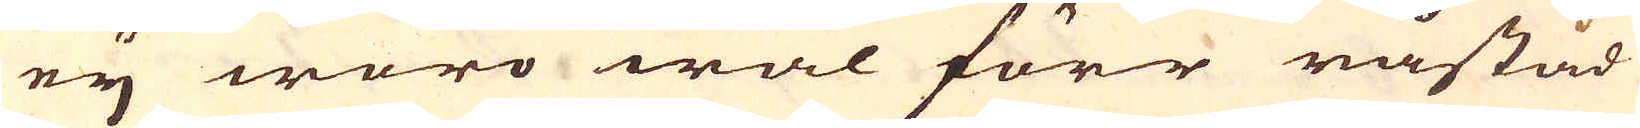ey woro wäl förr råstad
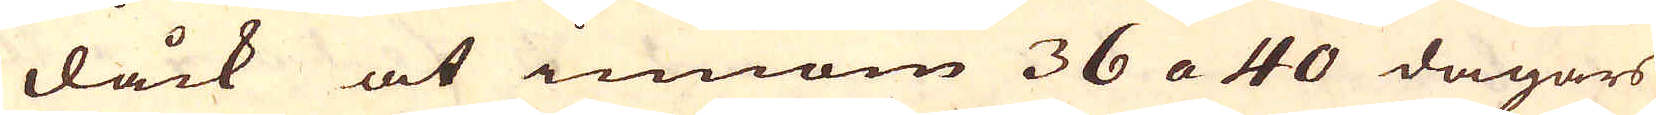dåck at innom 36 a 40 dagars
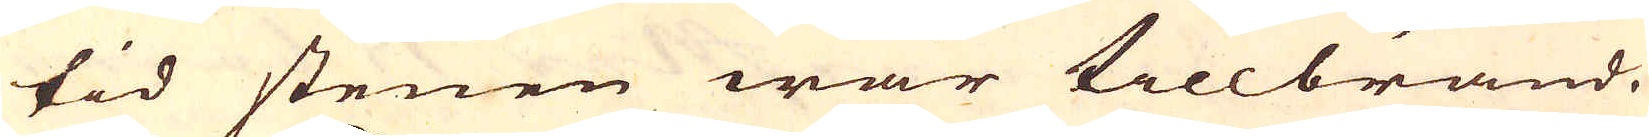tid stenen war tillbränd.
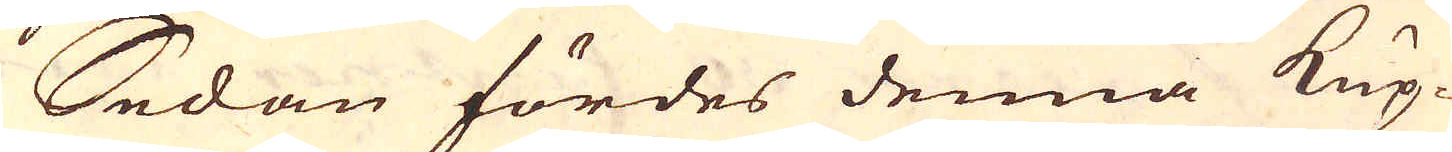Sedan fördes denna Kup-
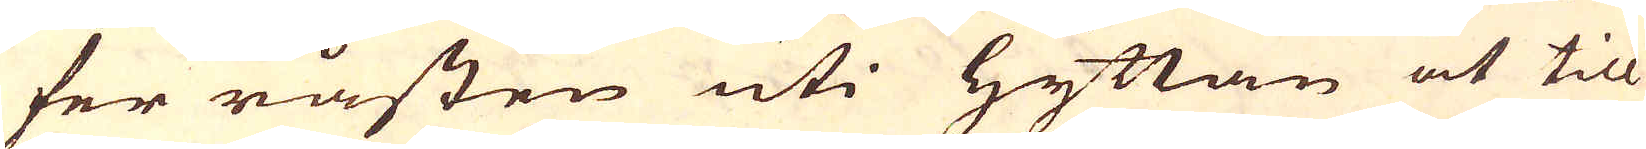fer råsten uti Hyttan at till
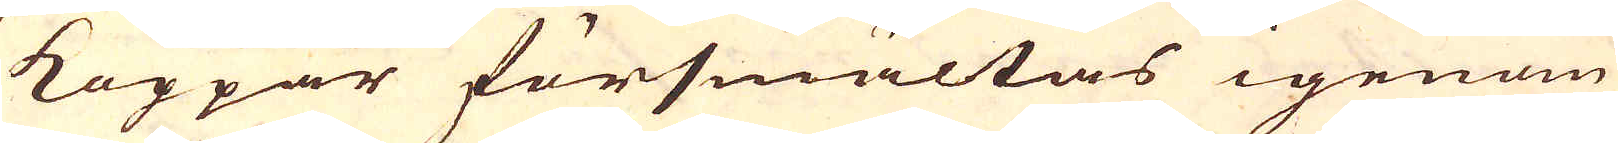Koppar försmältas igenom
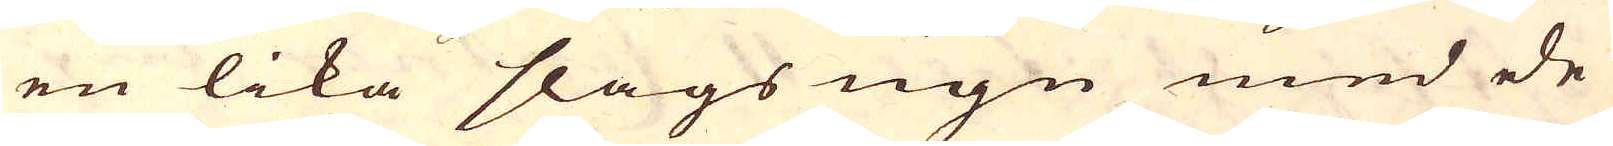en lika slags ugn med de
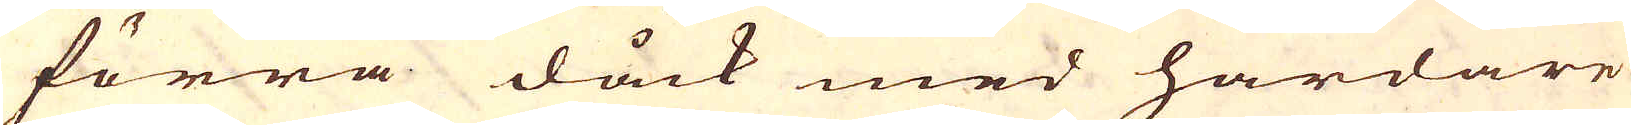förra dåck med hårdare
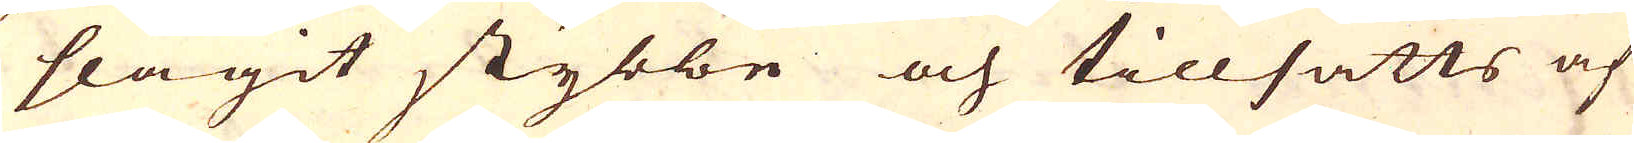slagit stybbe och tillsatts af
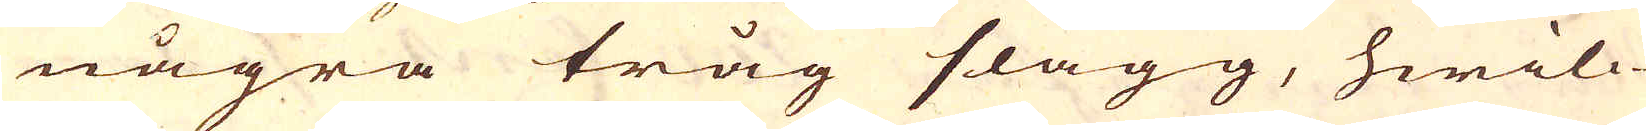några tråg slagg, hwilc-
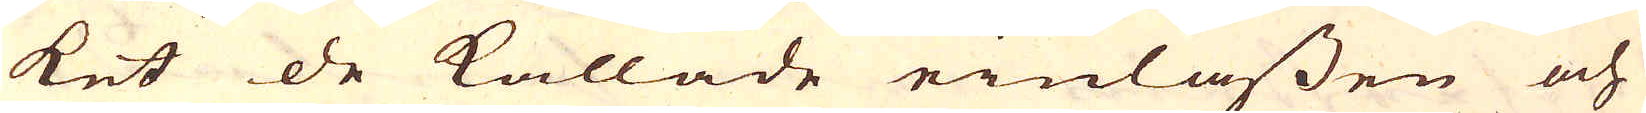ket de kallade einlassen och
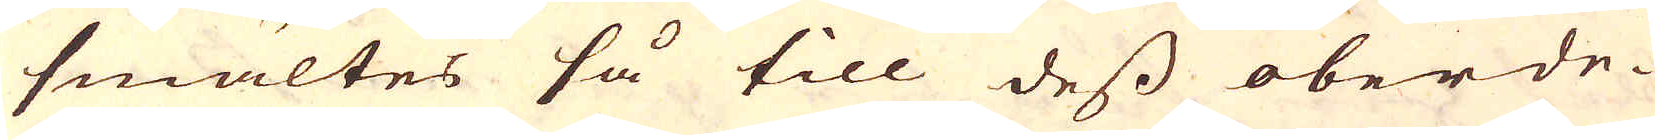smältes så till dess oberde-
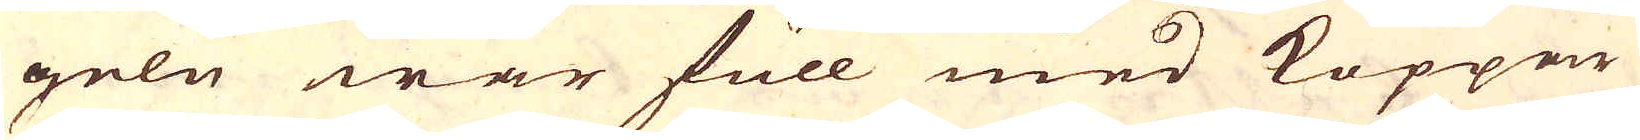geln war full med Koppar
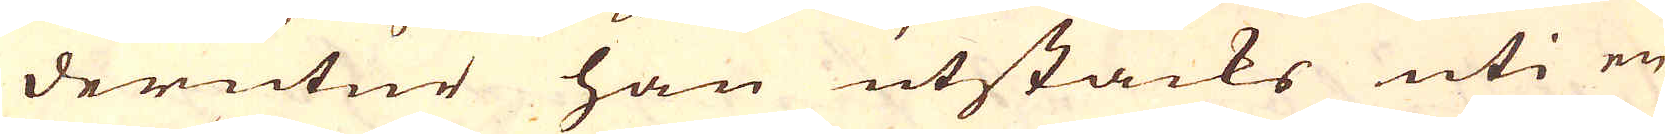derutur han utstacks uti en
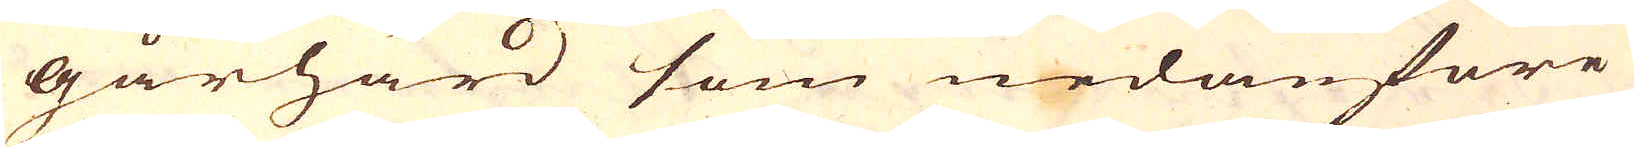gårhärd som nedanföre
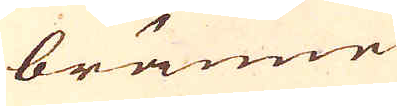bränne-
